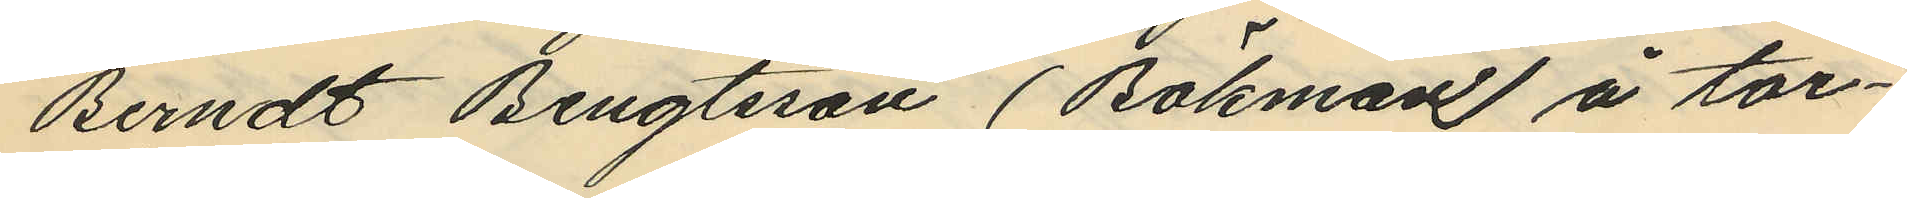Berndt Bengtsson (Bökman) å tor¬
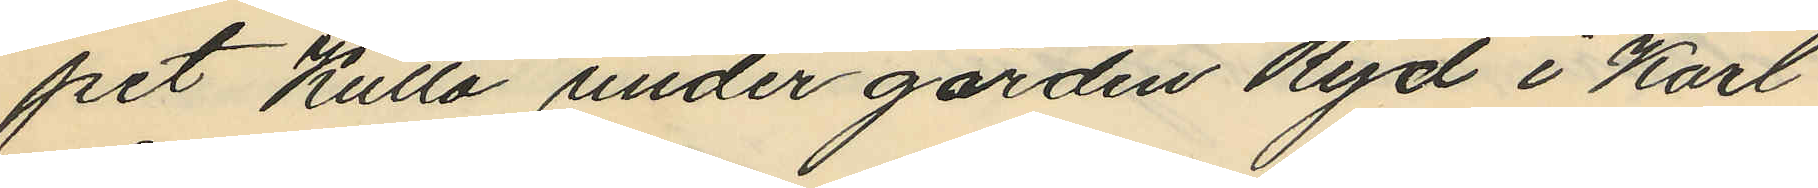pet Kulla under gården Ryd i Karl
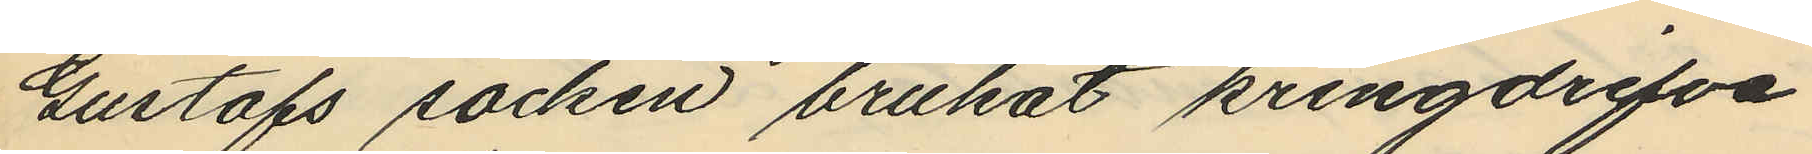Gustafs socken brukat kringdrifva
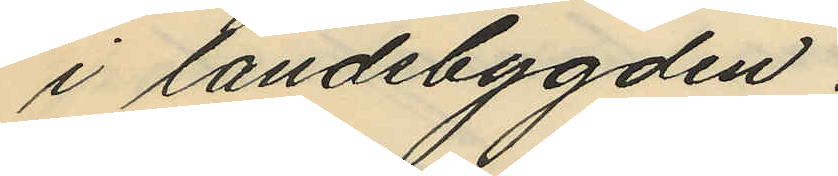i landsbygden.
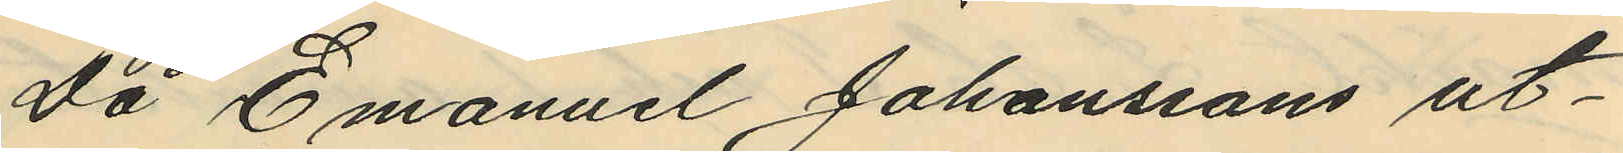Då Emanuel Johanssons ut¬
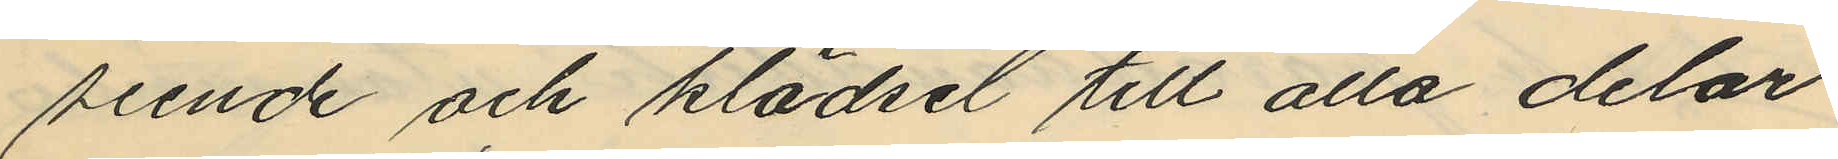seende och klädsel till alla delar
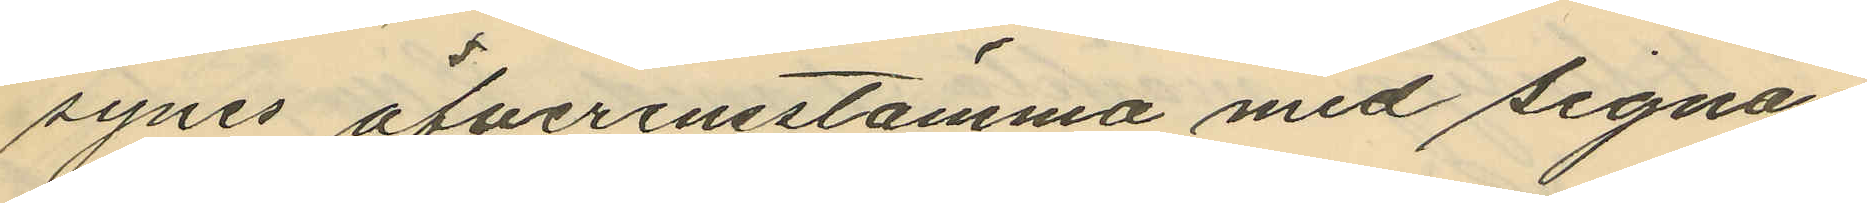synes öfverensstämma med signa¬
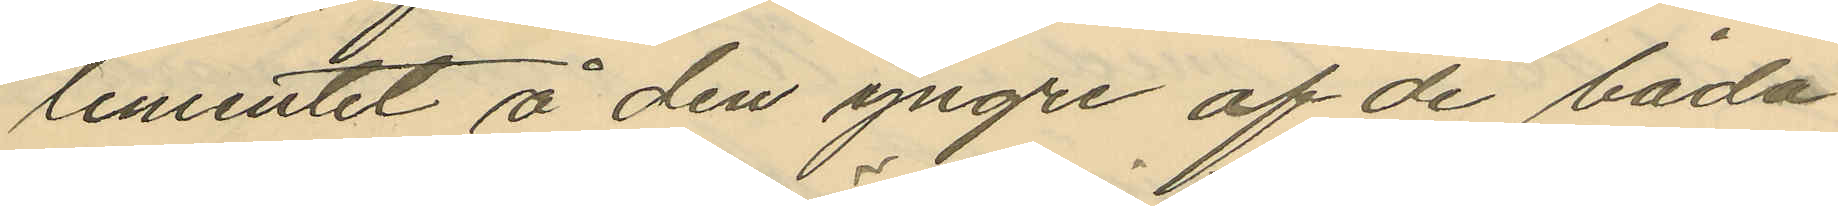lementet å den yngre af de båda
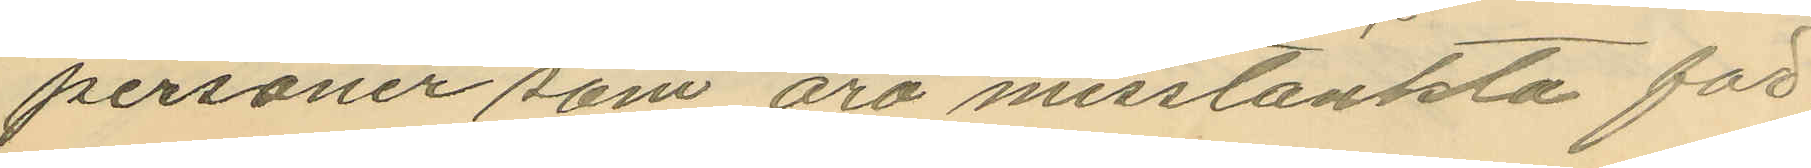personer som äro misstänkta för
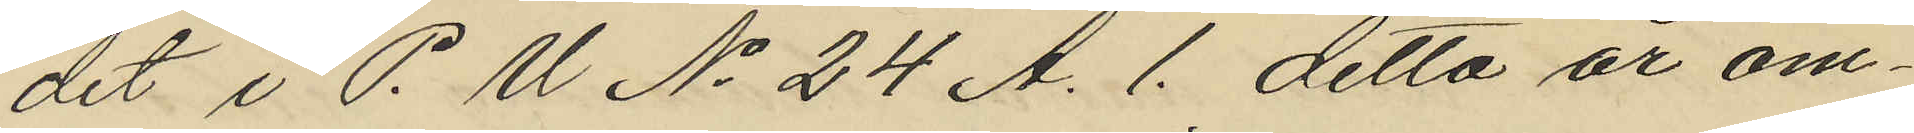det i P. M. No 24 A. 1. detta år om¬
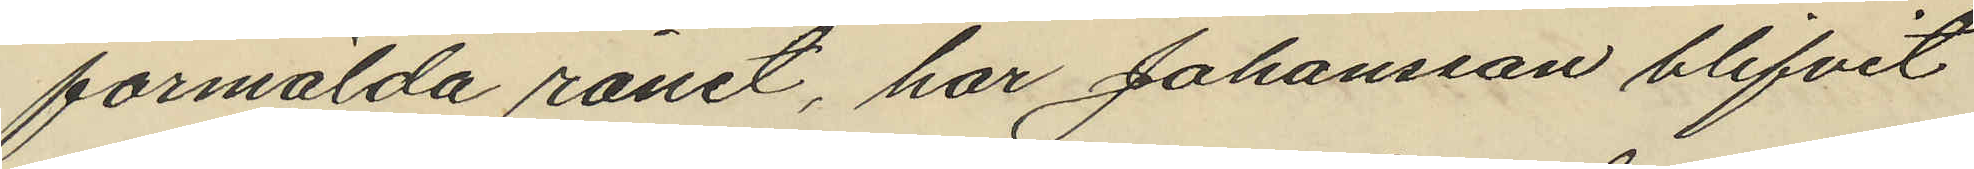formälda rånet, har Johansson blifvit
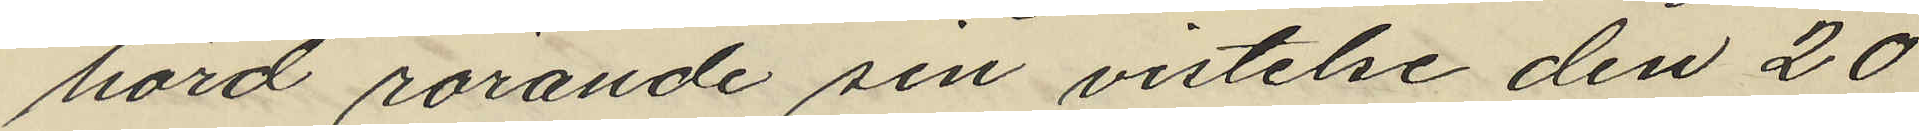hörd rörande sin vistelse den 20
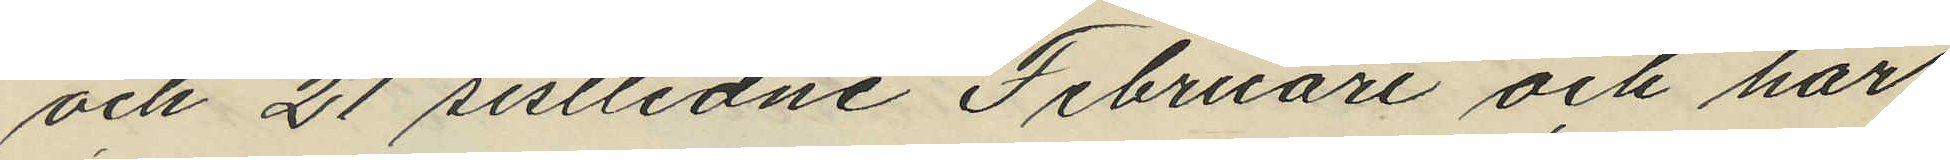och 21 sistlidne Februari och har
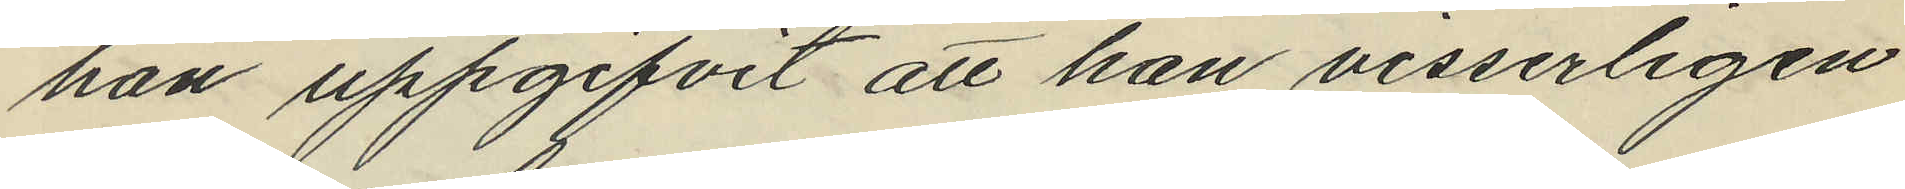han uppgifvit att han visserligen
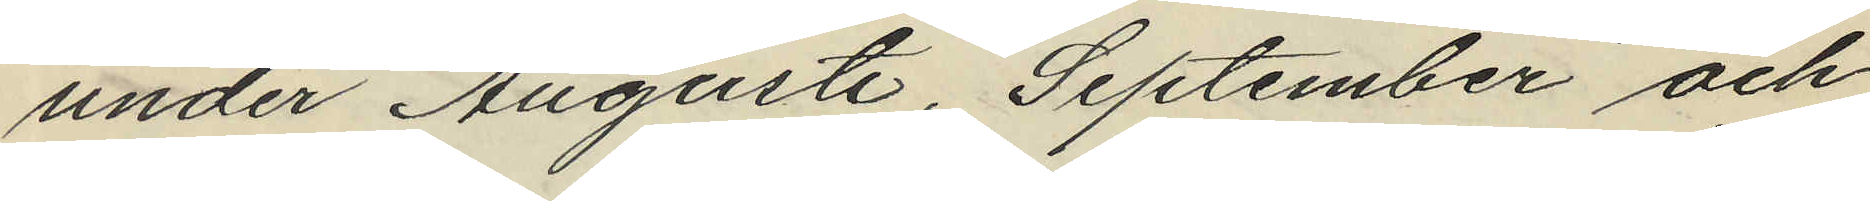under Augusti, September och
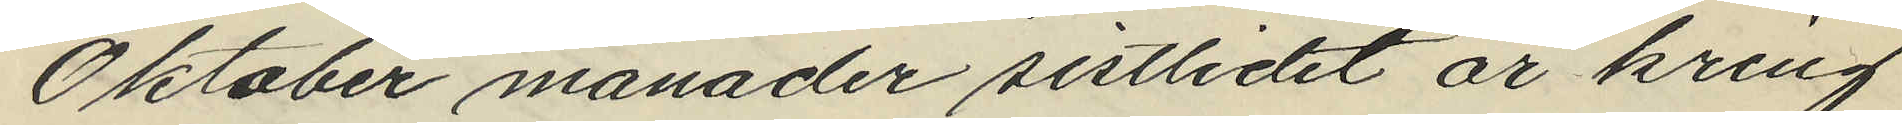Oktober månader sistlidet år kring
